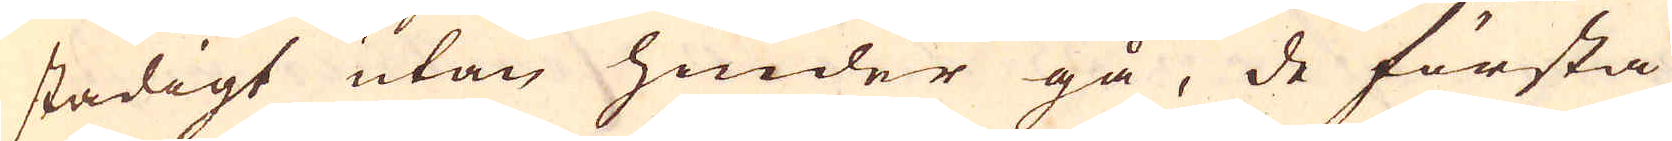stadigt utan hinder gå, de första
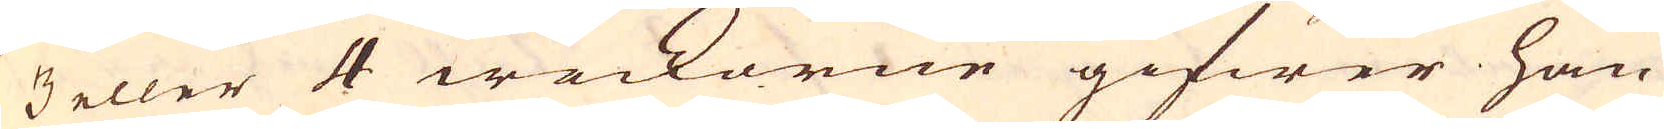3 eller 4 weckorne gifwer han
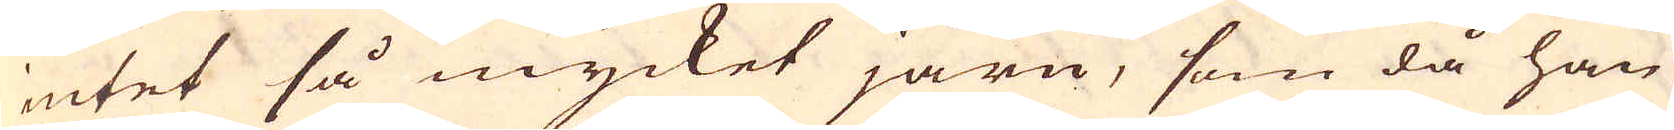intet så mycket järn, som då han
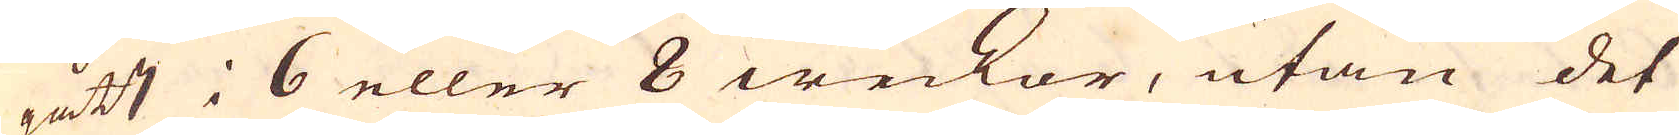gått i 6 eller 8 weckor, utan det
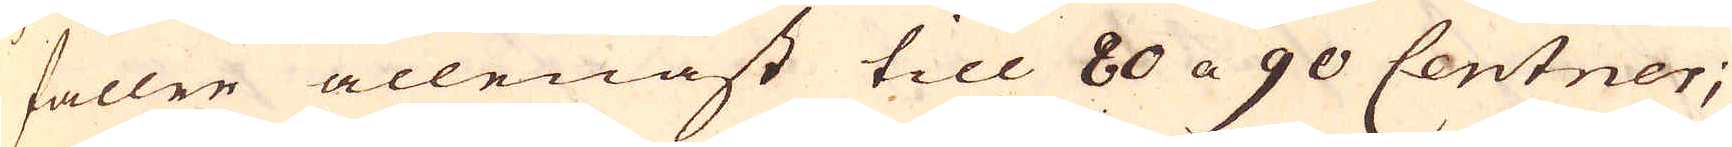fallen allenast till 80 a 90 Centner;
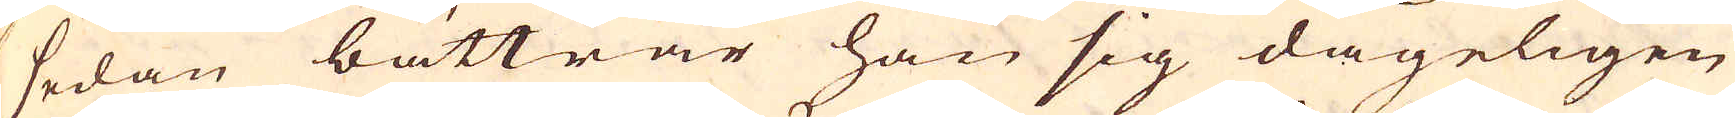sedan bättrar han sig dageligen
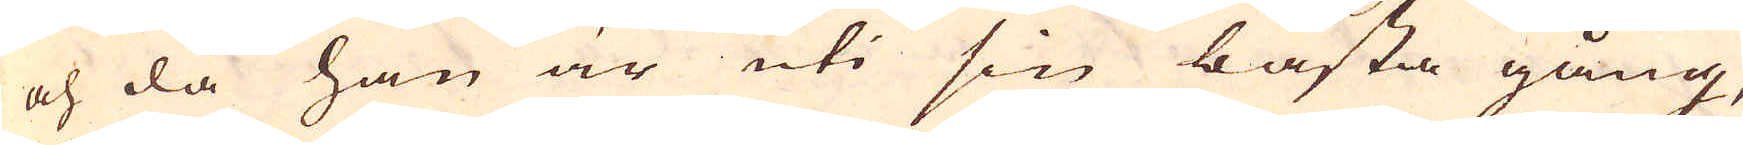och då han är uti sin bästa gång,
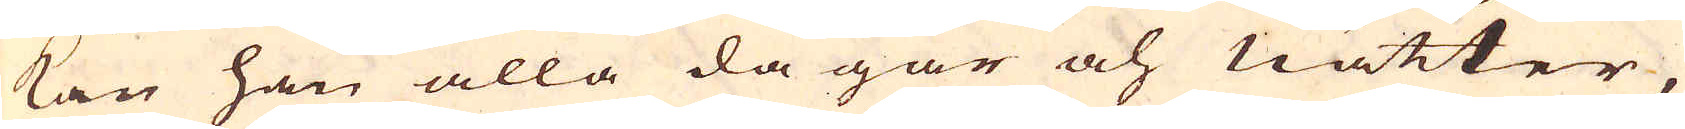kan han alla dagar och nätter
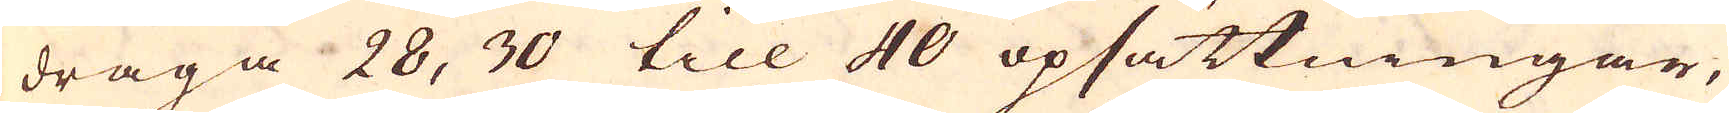draga 28, 30 till 40 opsättningar,
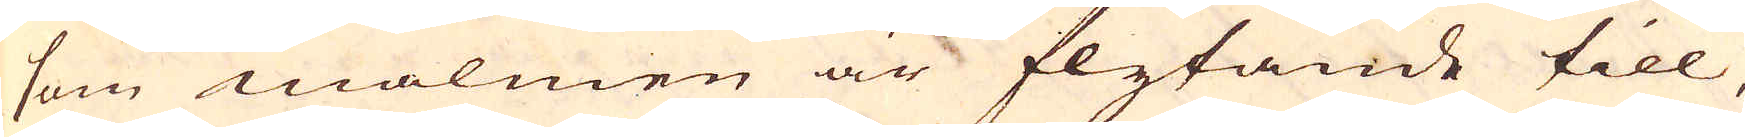som malmen är flytande till.
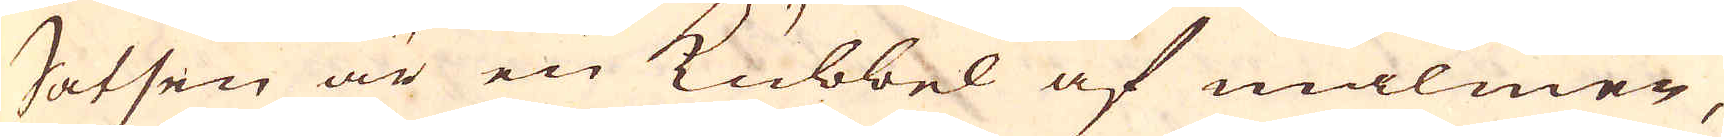Satsen är en Kubbel af malmer,
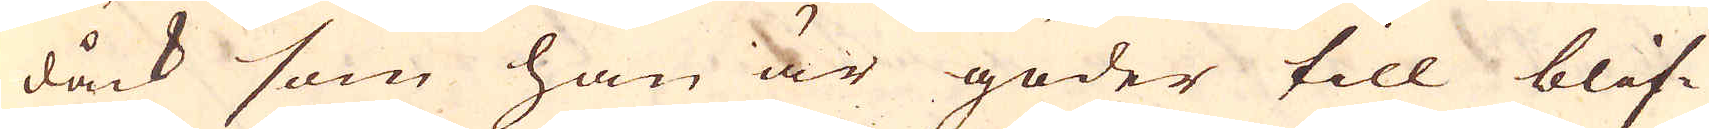dåck som han är goder till blif-
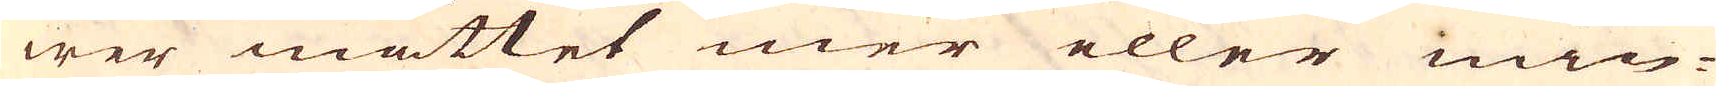wer måttet mer eller min-
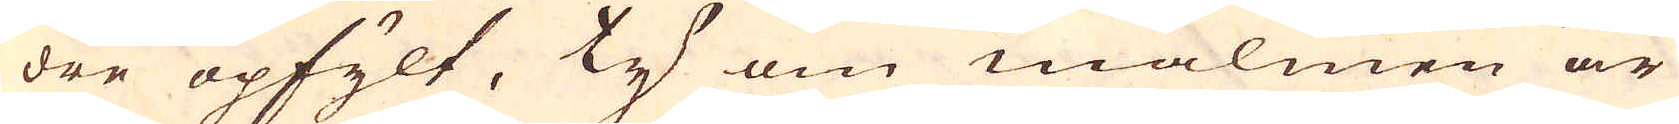dre opfylt, ty om malmen är
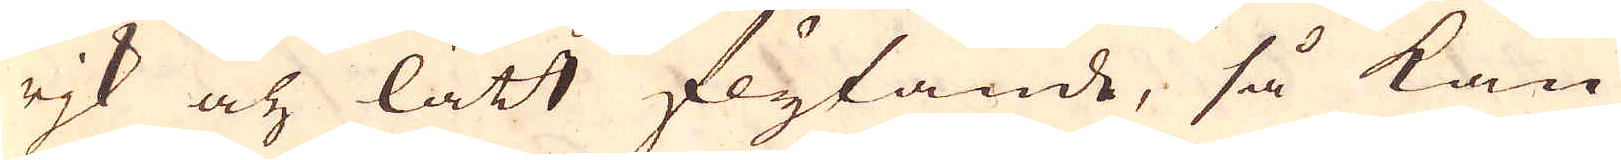rjk och lätt flytande, så kan
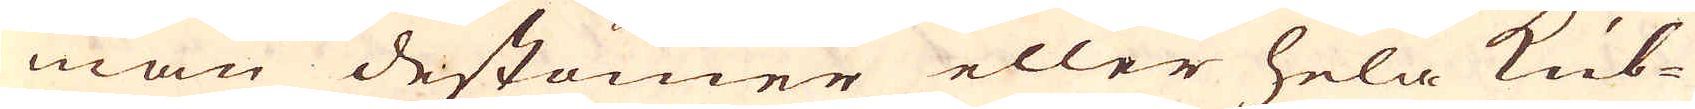man destomer eller hela kub-
